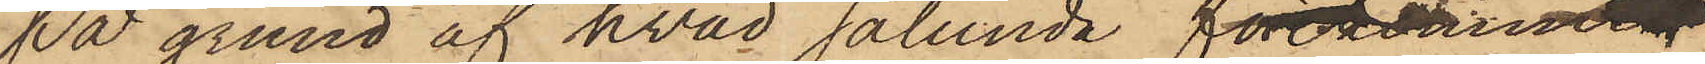På grund af hvad sålunda förekommit,
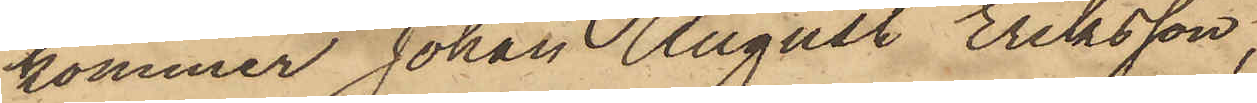kommer Johan August Eriksson,
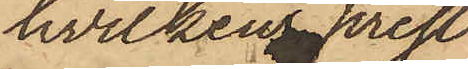hvilkens prest¬
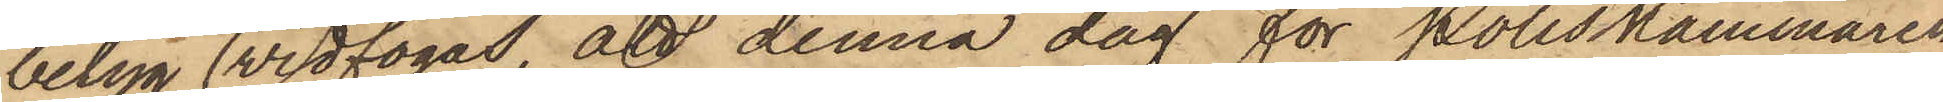betyg widfogas, att denna dag för Poliskammaren
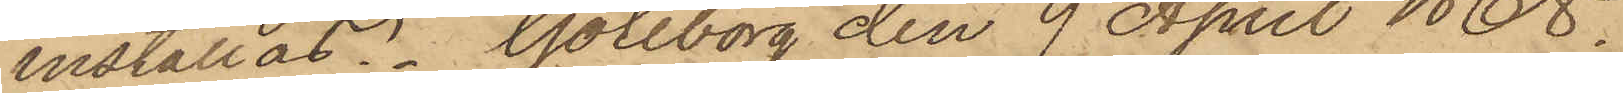inställas. Göteborg den 9 April 1868.
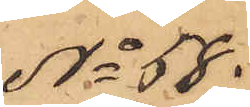No 58.
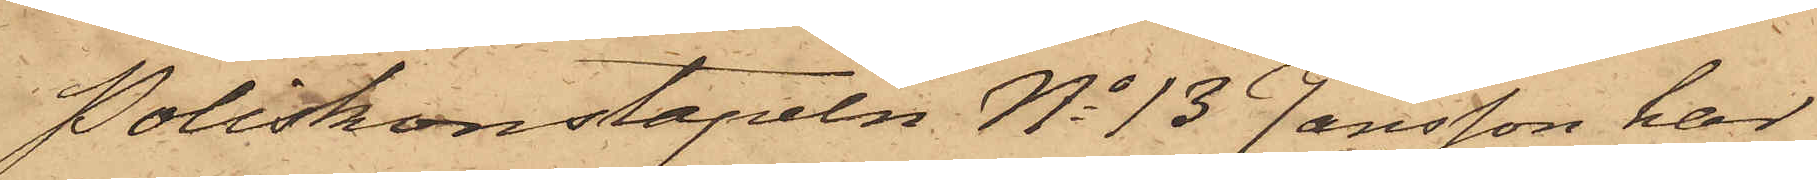Poliskonstapeln No 13 Jansson har
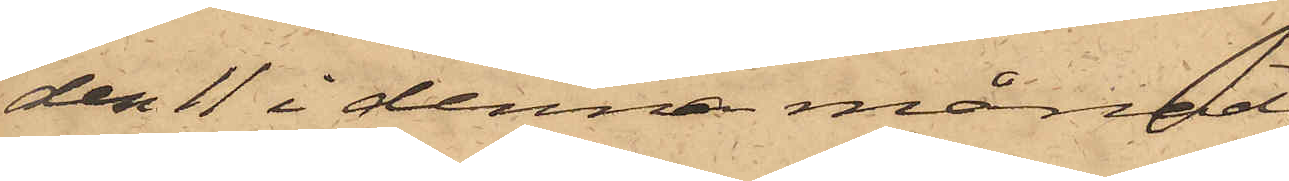den 11 i denna månad
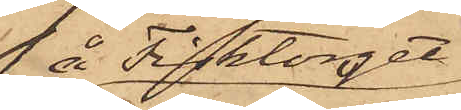å Fisktorget
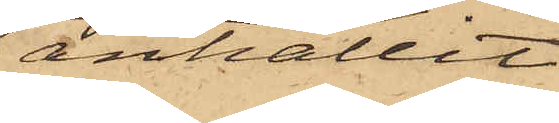anhållit
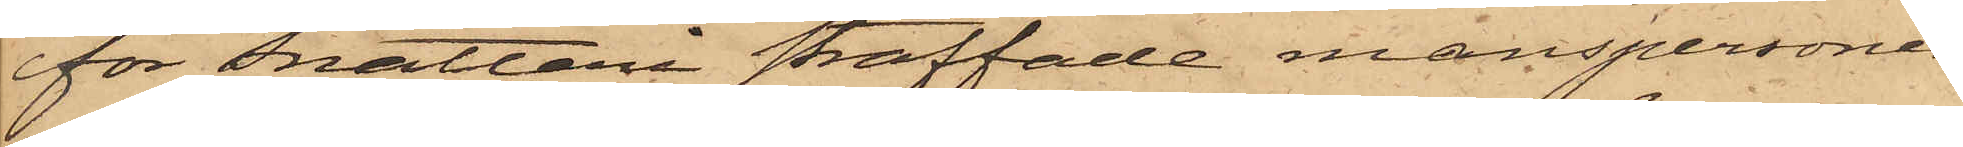för snatteri straffade manspersonen
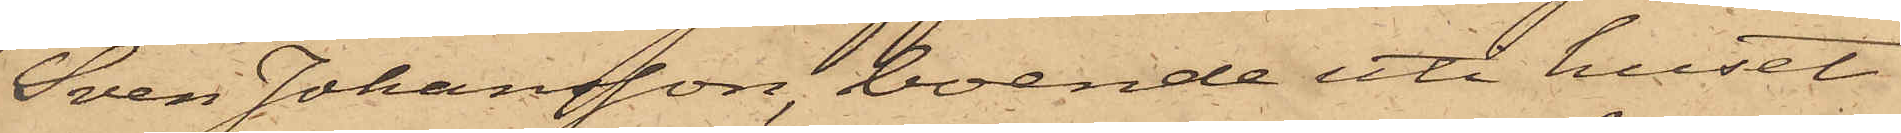Sven Johansson, boende uti huset
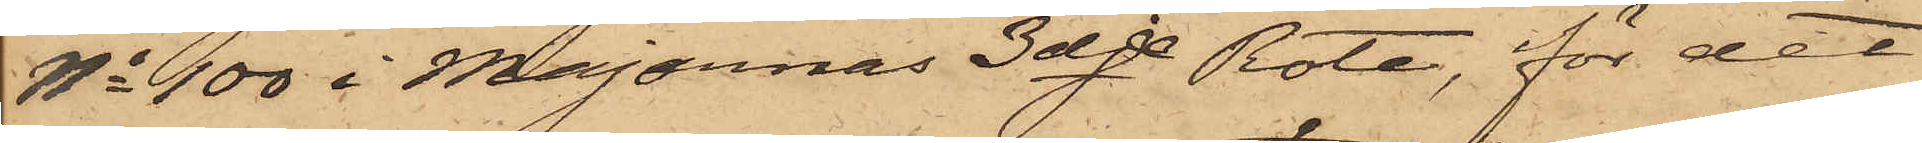No 100 i Majornas 3dje Rote, för det
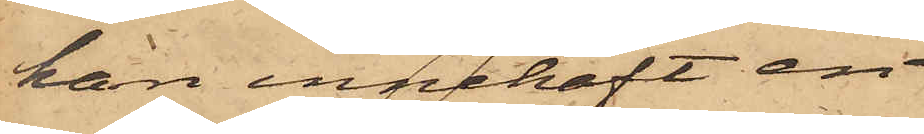han innehaft en
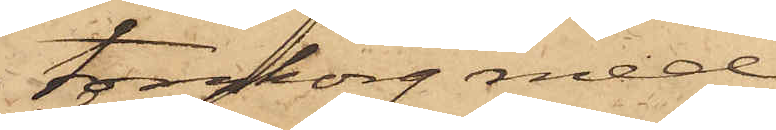torgkorg med
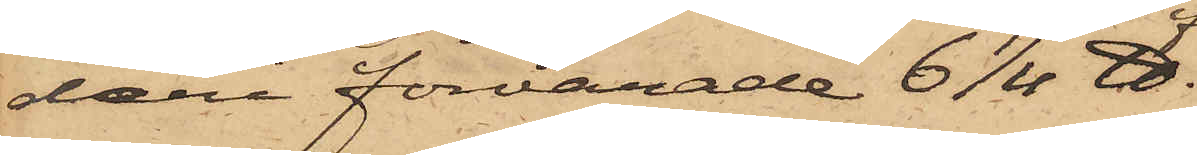deri förvarade 6 1/4 ℔.
